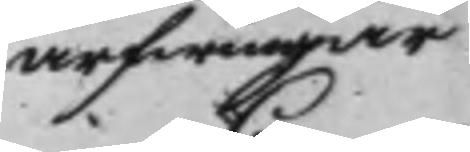arfwingar
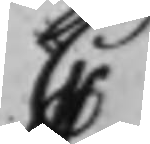C
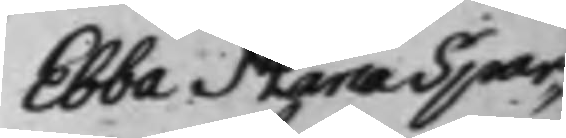Ebba Maria Spar¬
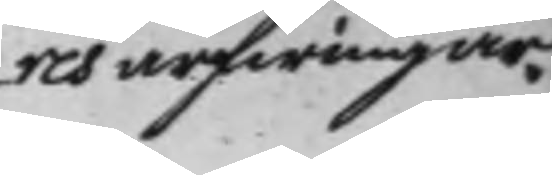res arfwingar.
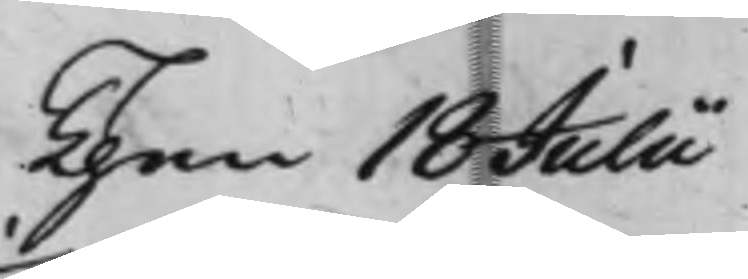Then 18 Julii
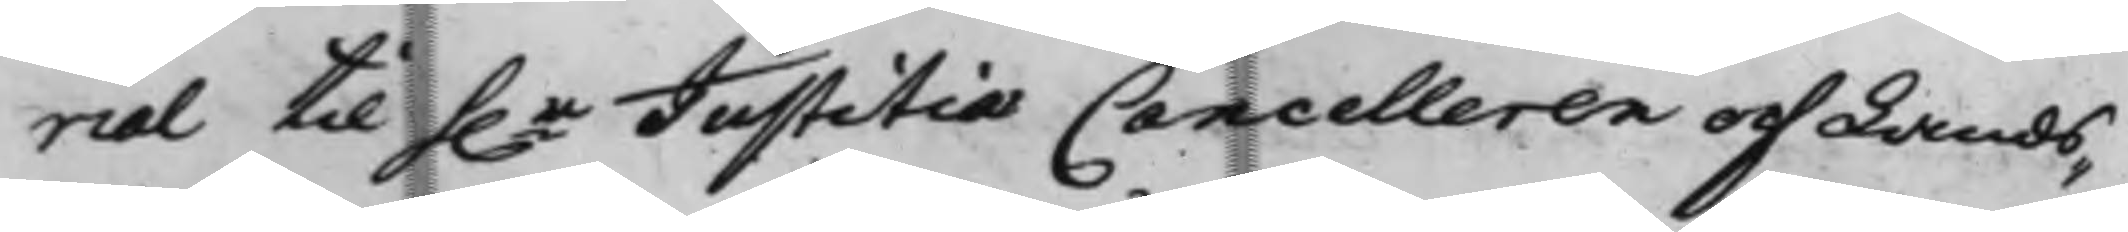rial til h.r Justitiæ Cancelleren och Lands¬
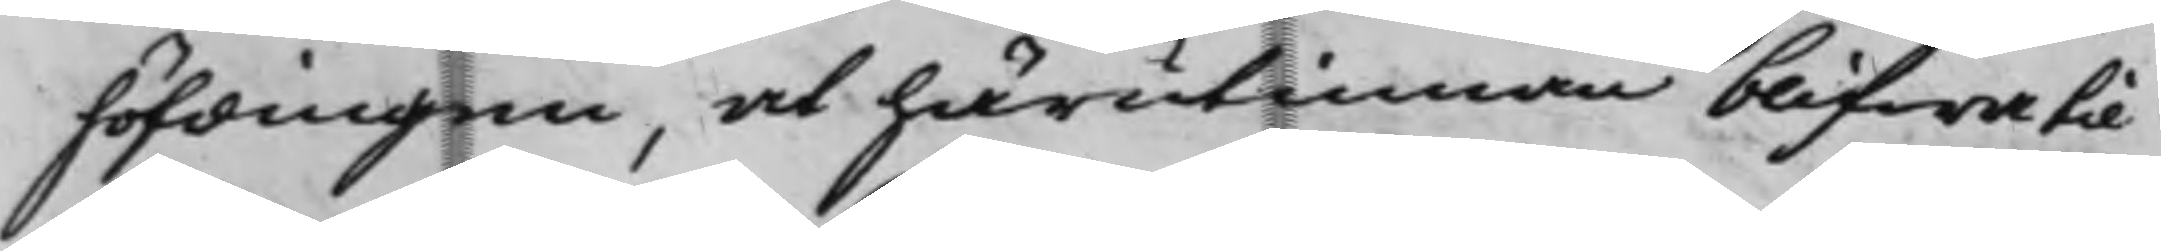höfdingen, at härutinnan blifwa til
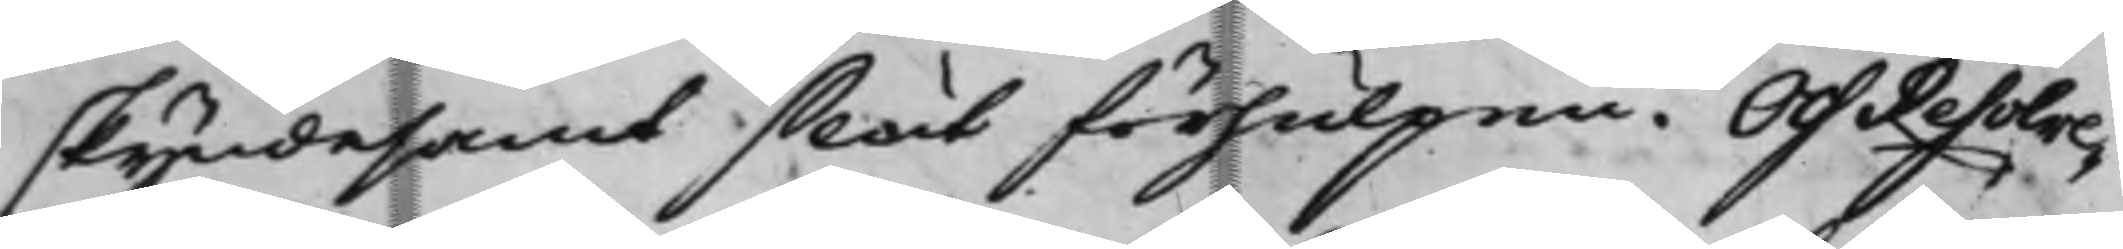skyndesamt slut förhulpen. Och Resolve¬
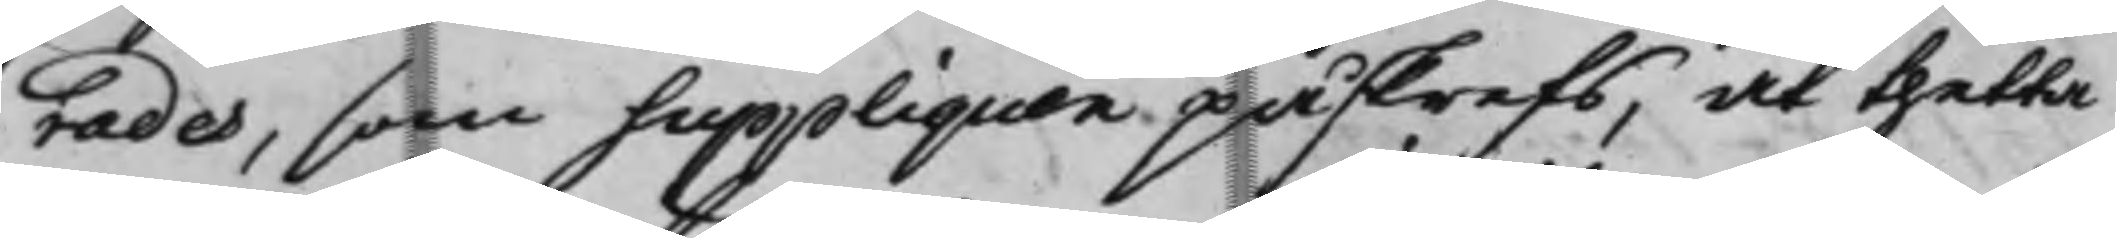rades, som suppliquen påskrefs, at thetta
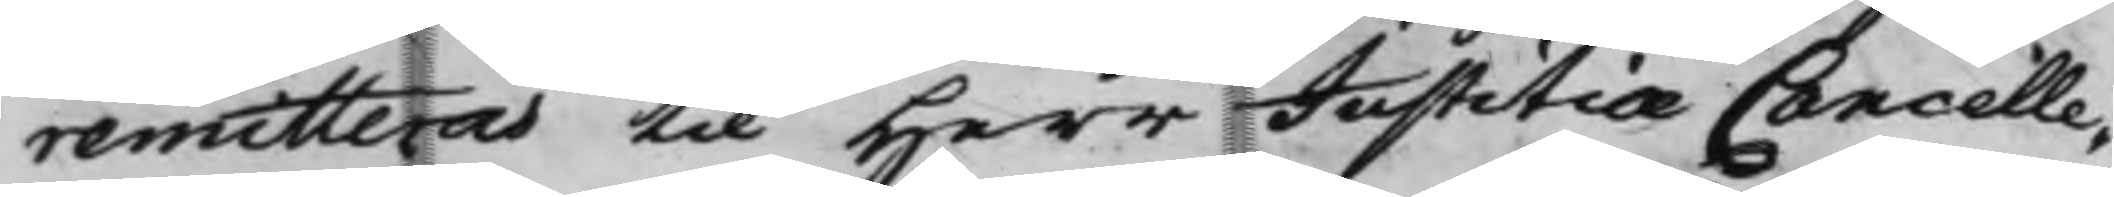remitteras til Herr Justitiæ Cancelle¬
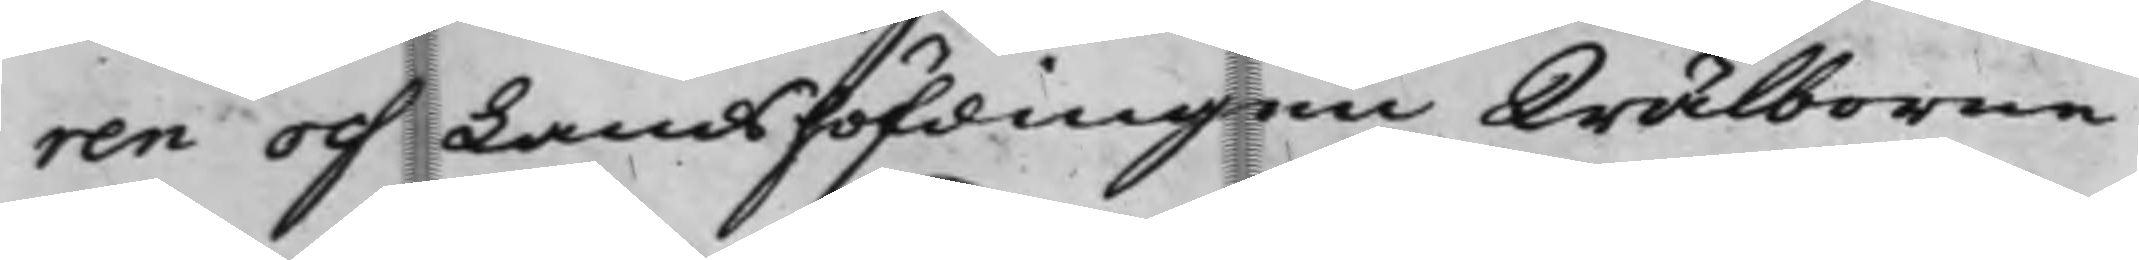ren och Landshöfdingen Wälborne
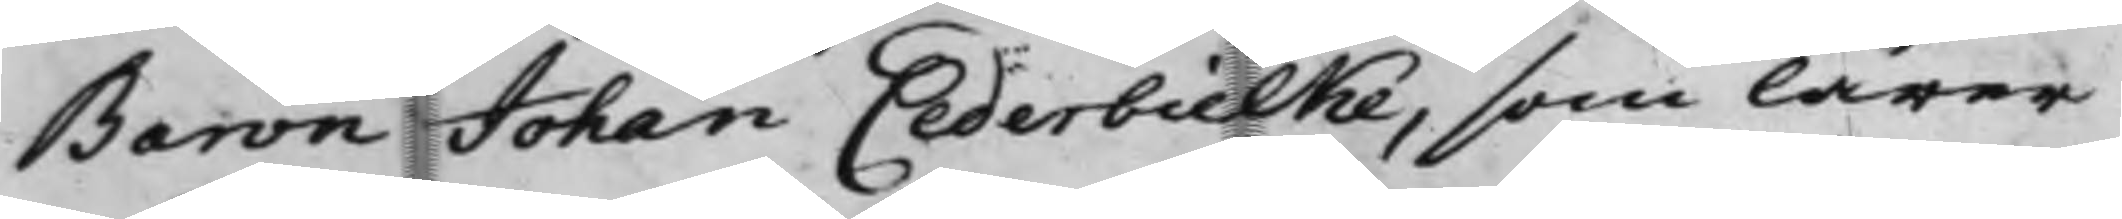Baron Johan Cederbielke, som lärer
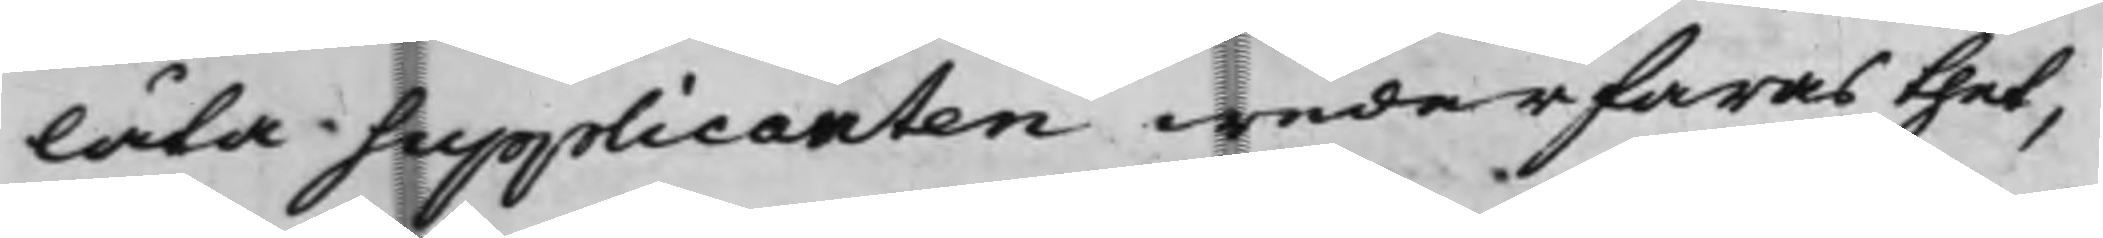låta supplicanten wederfaras thet,
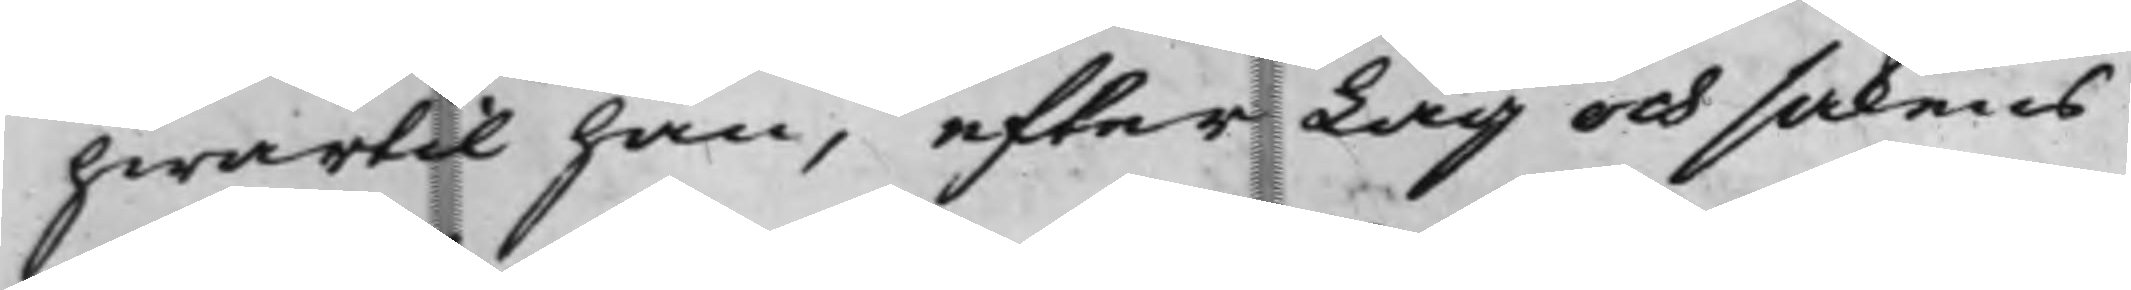hwartill han, efter Lag och sakens
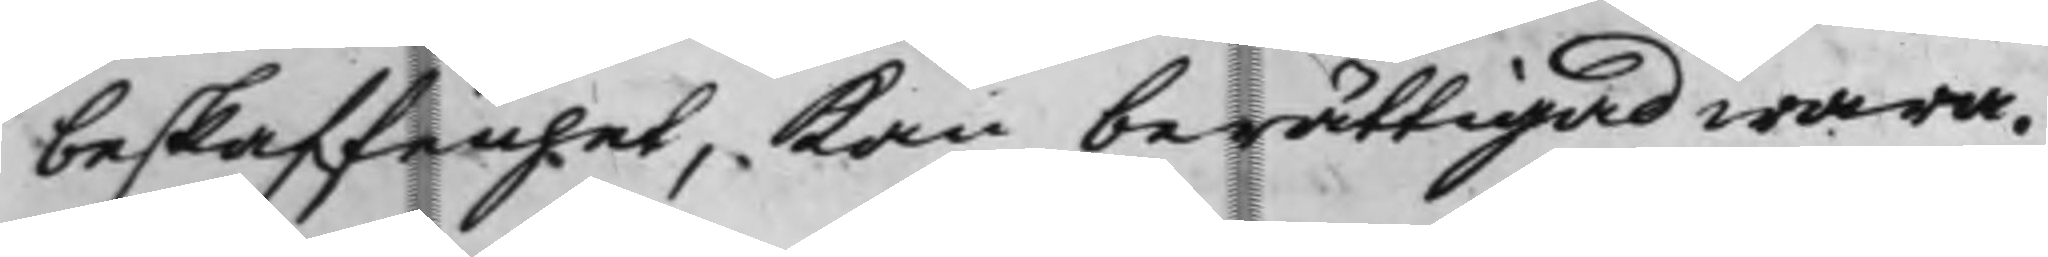beskaffenhet, Kan berättigad wara.
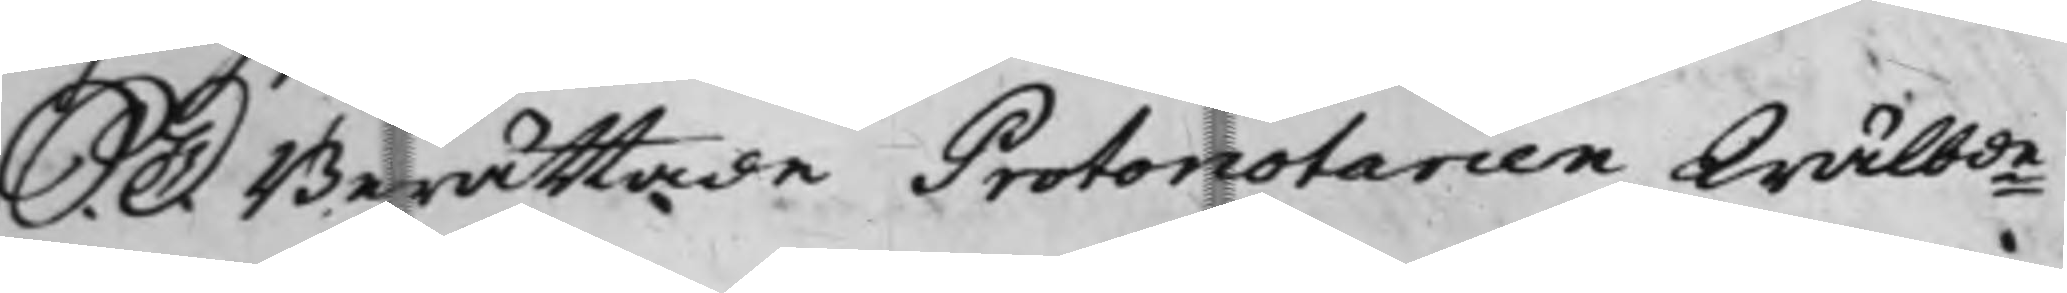S. D. Berättade Protonotarien Wälbde
